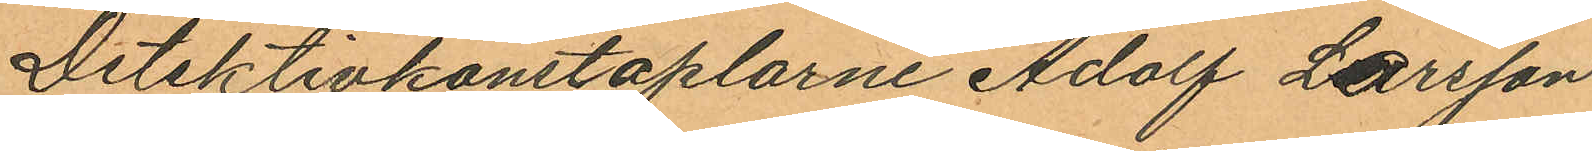Detektivkonstaplarne Adolf Larsson
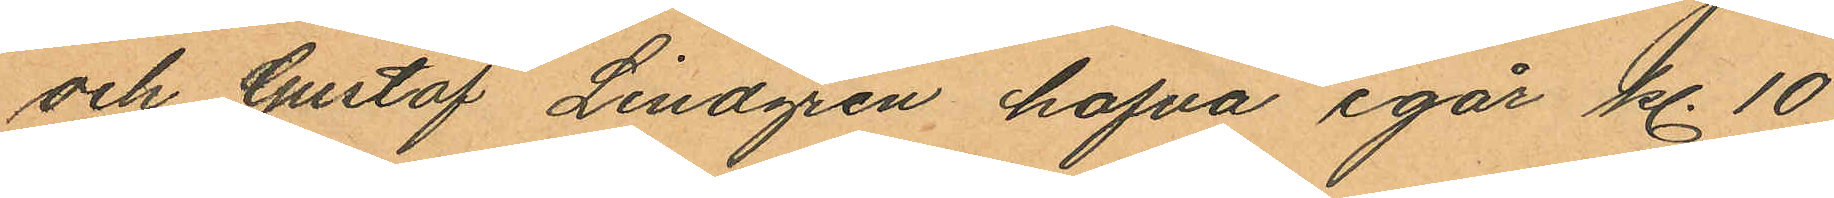och Gustaf Lindgren hafva igår kl. 10
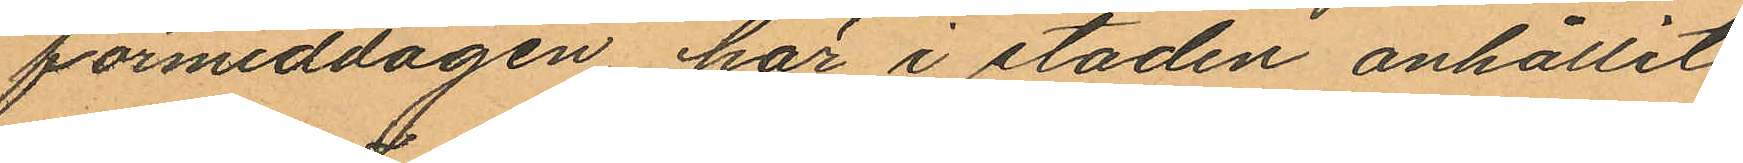förmiddagen här i staden anhållit
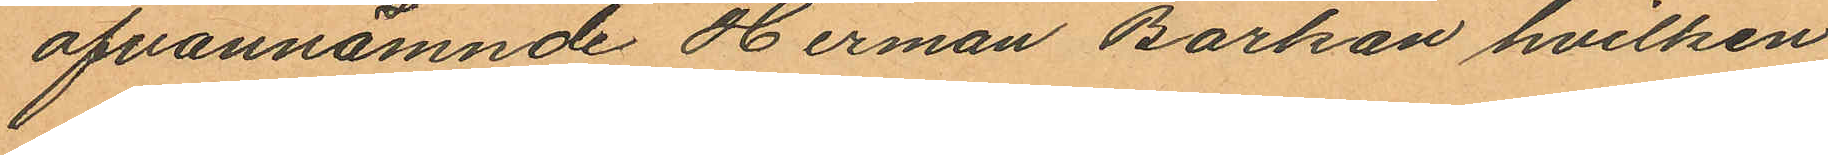ofvannämnde Herman Barkan hvilken
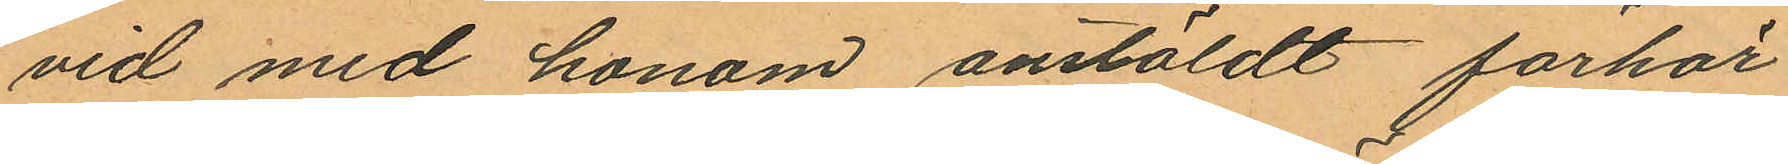vid med honom anstäldt förhör
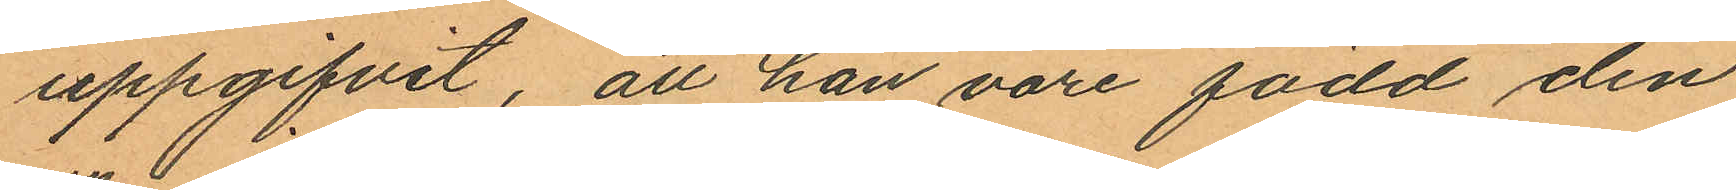uppgifvit, att han vore född den
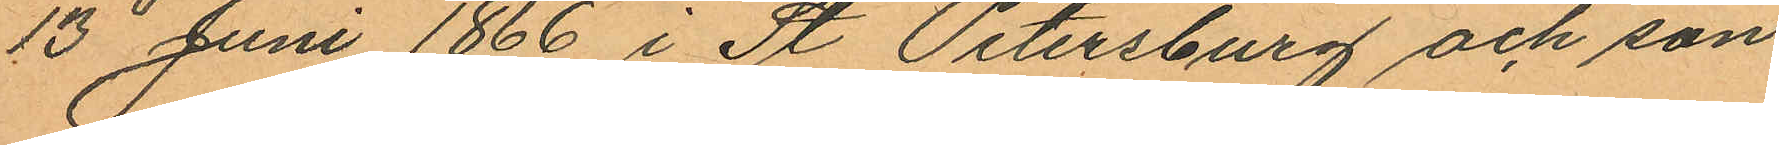13 Juni 1866 i St Petersburg och son
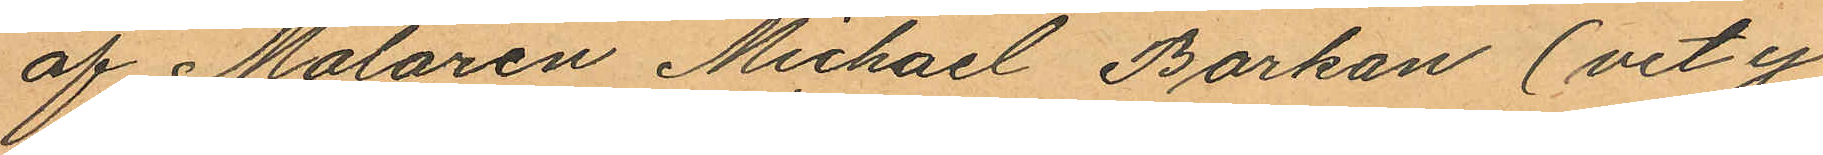af Målaren Michael Barkan (vet ej
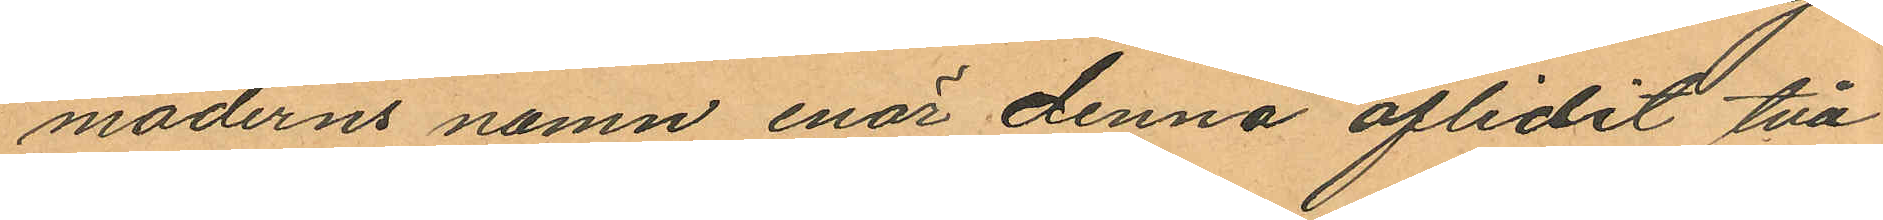moderns namn enär denna aflidit två
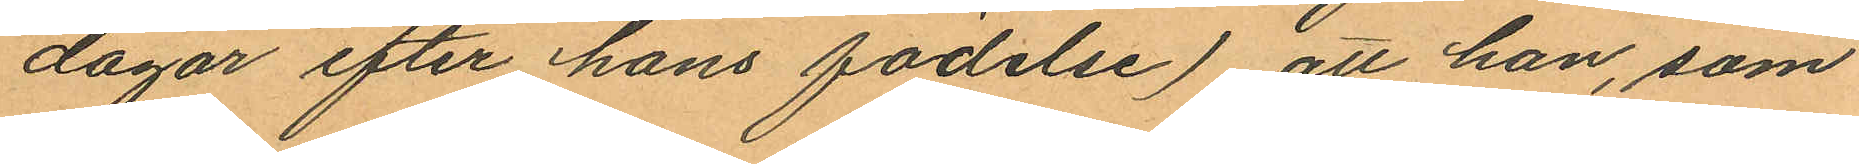dagar efter hans födelse), att han, som
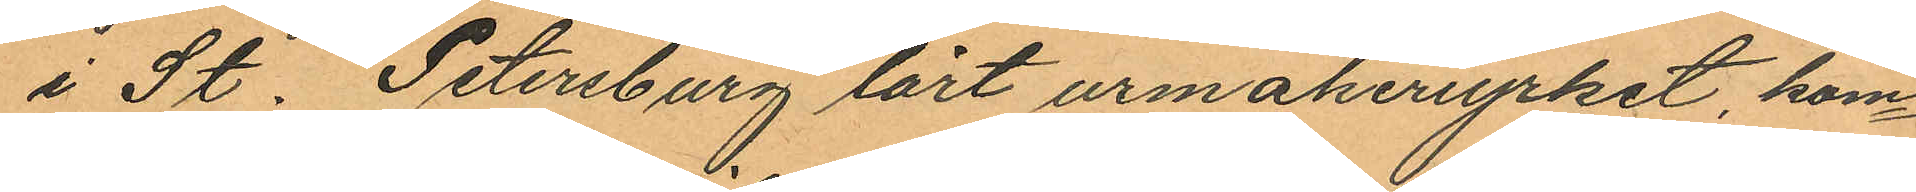i St. Peterburg lärt urmakeriyrket kom¬
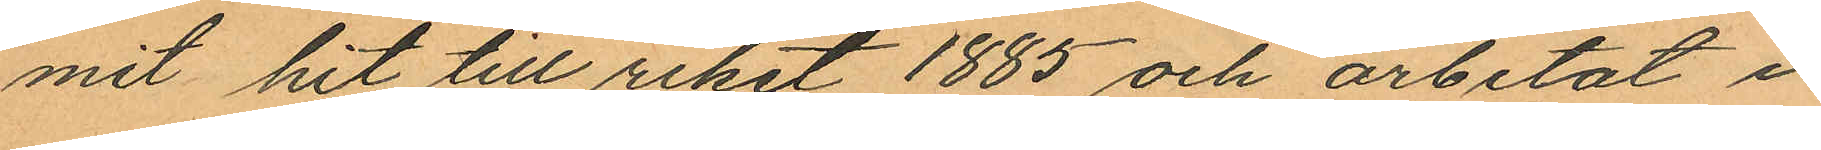mit hit till riket 1885 och arbetat i
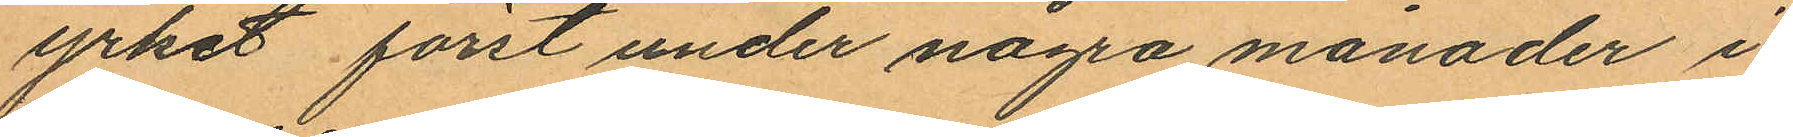yrket först under några månader i
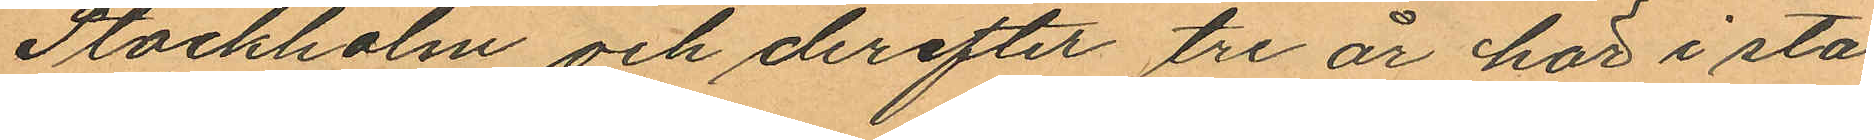Stockholm och derefter tre år här i sta¬
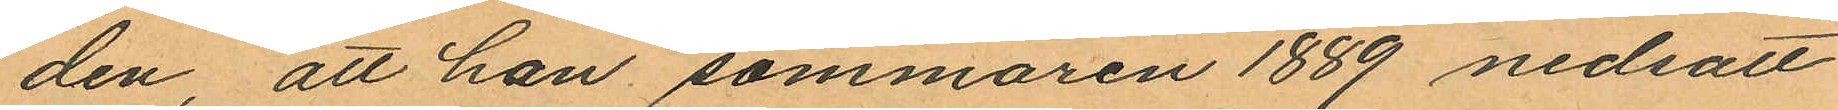den, att han sommaren 1889 nedsatt
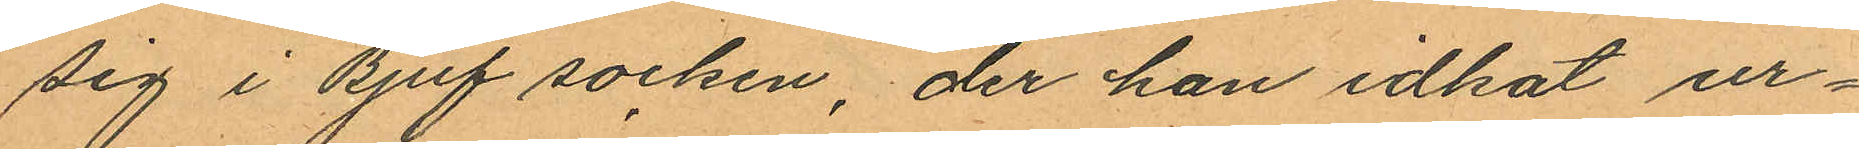sig i Bjuf socken, der han idkat ur¬
